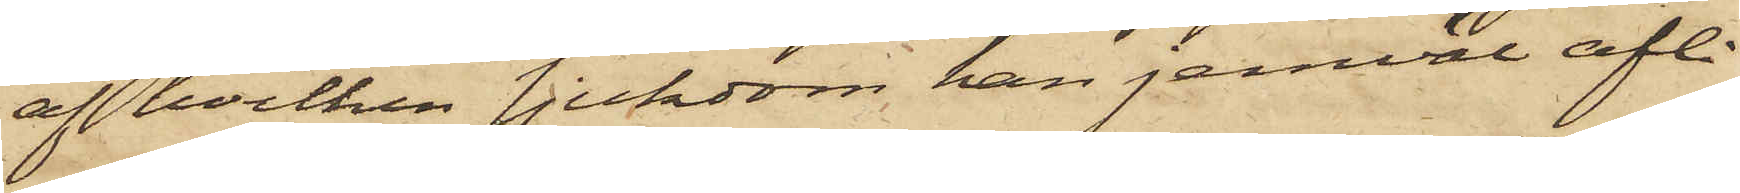af hvilken sjukdom han jemväl afli¬
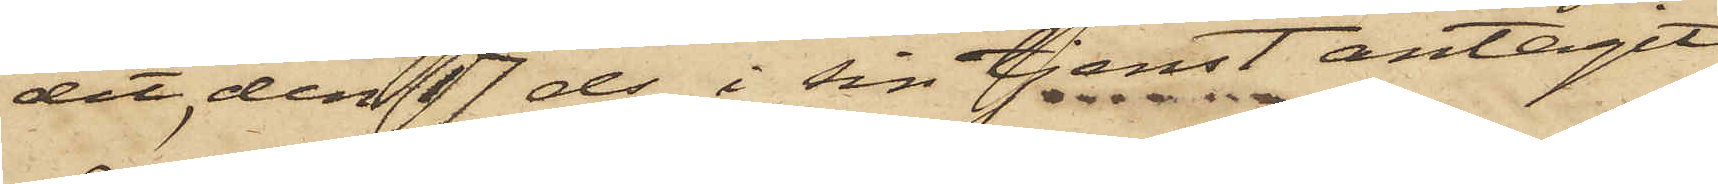dit, den 17 ds i sin tjenst antagit
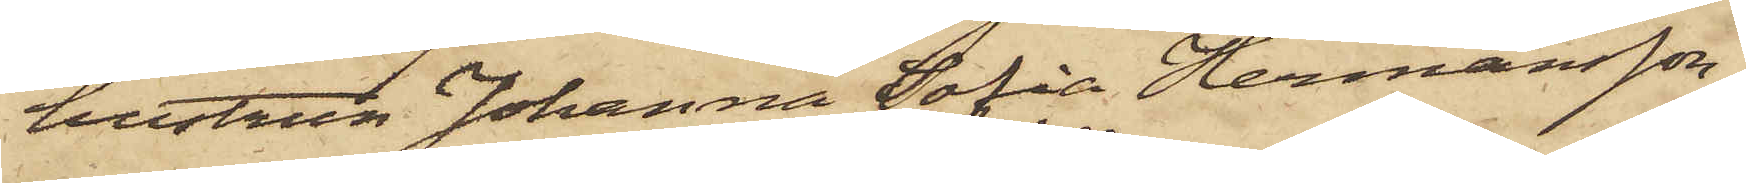hustrun Johanna Sofia Hermansson,
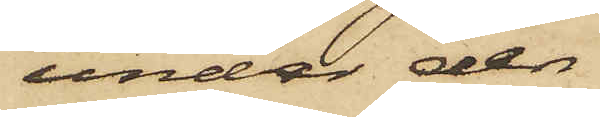under den
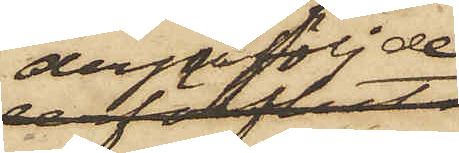derpåföljde
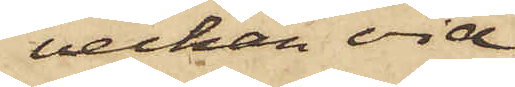veckan vid
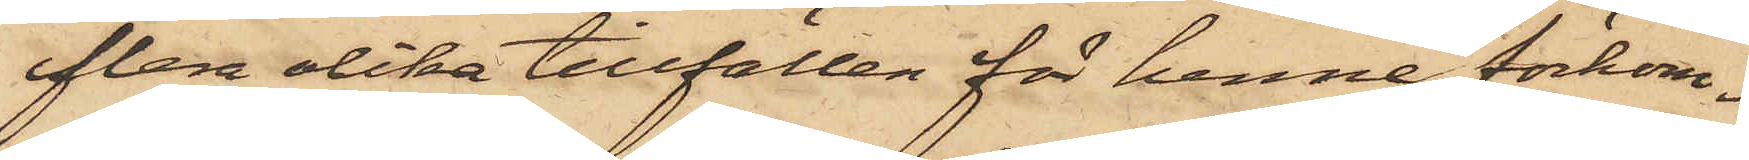flera olika tillfällen för henne förkom¬
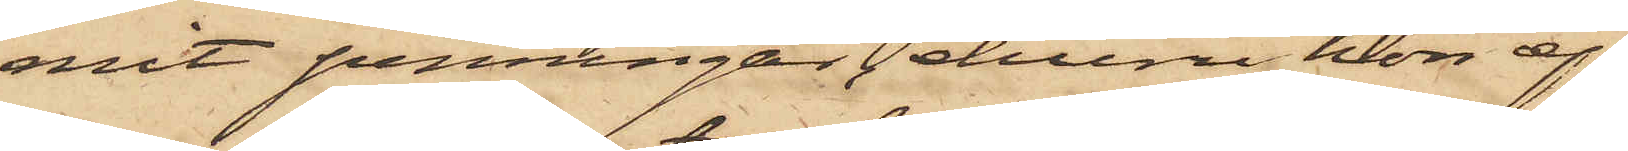mit penningar, ehuru hon ej
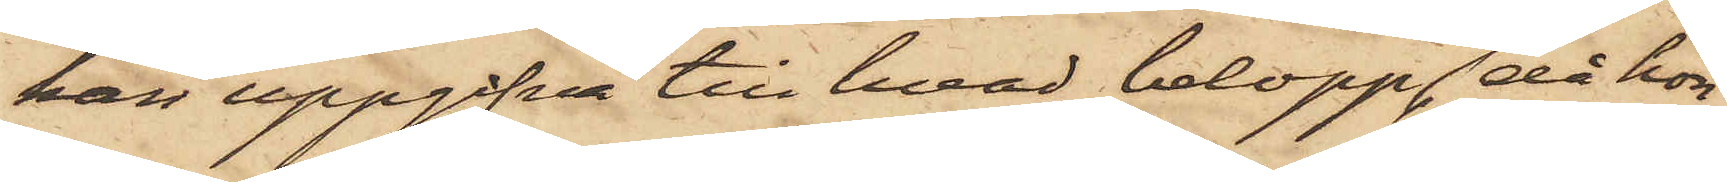kan uppgifva till hvad belopp, då hon
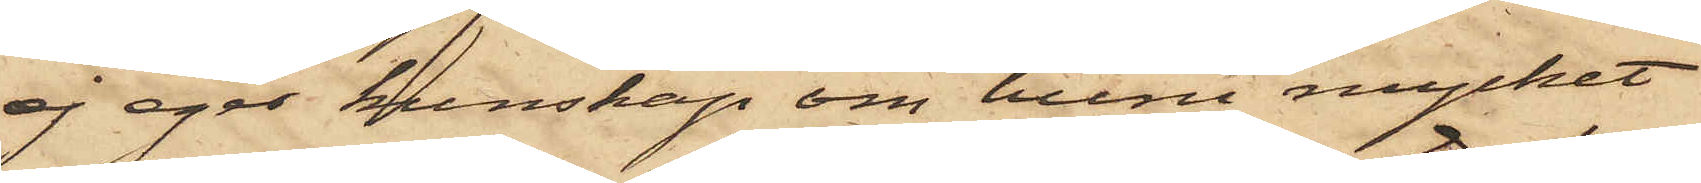ej eger kunskap om huru mycket
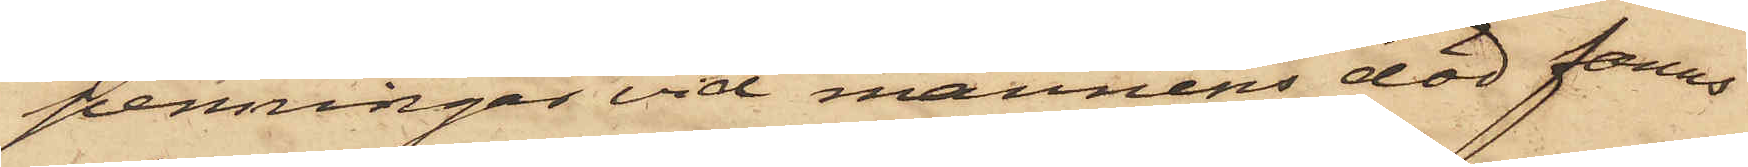penningar vid mannens död fanns
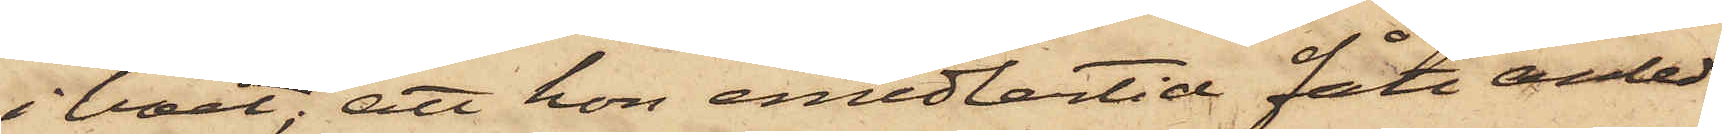i boet; att hon emedlertid fått anled¬
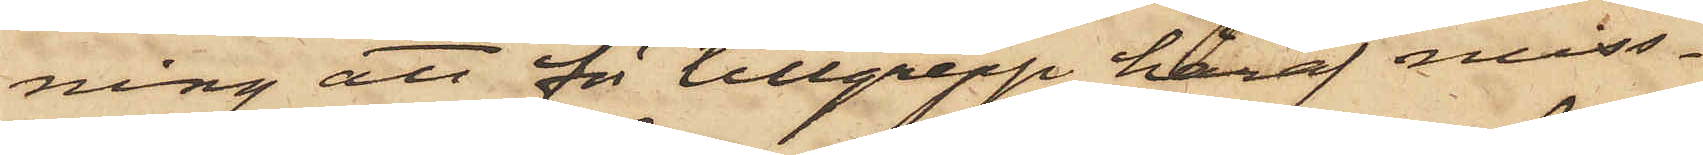ning att för tillgrepp häraf miss¬
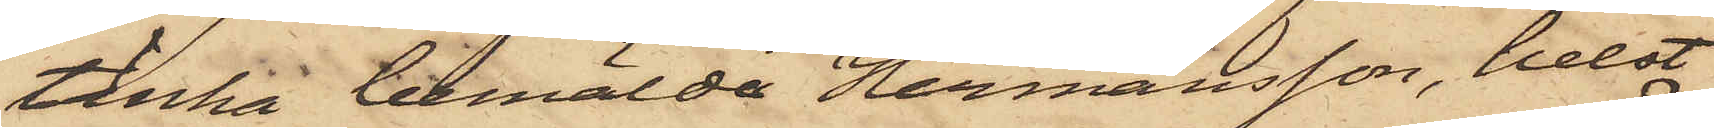tänka bemälde Hermansson, helst
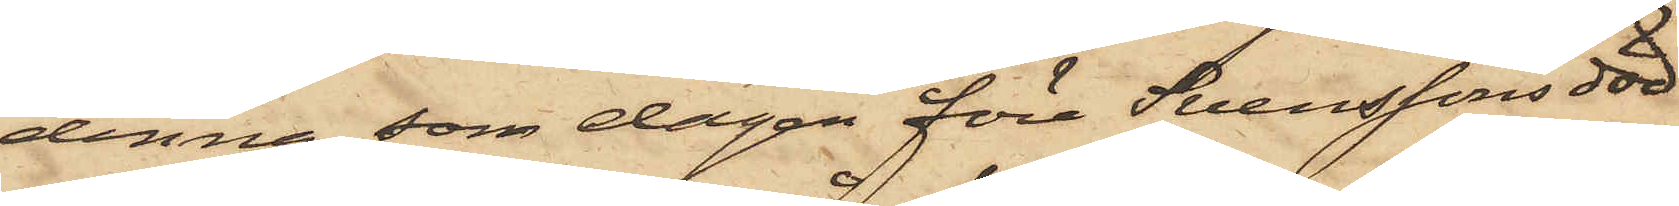denna, som dagen före Svenssons död
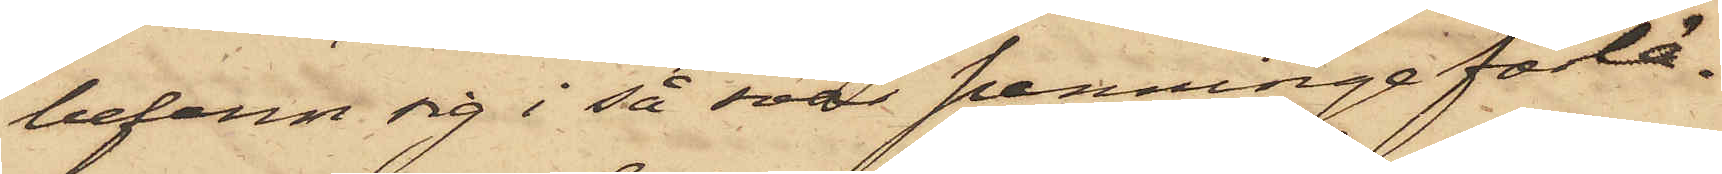befann sig i så svår penningeförlä¬
